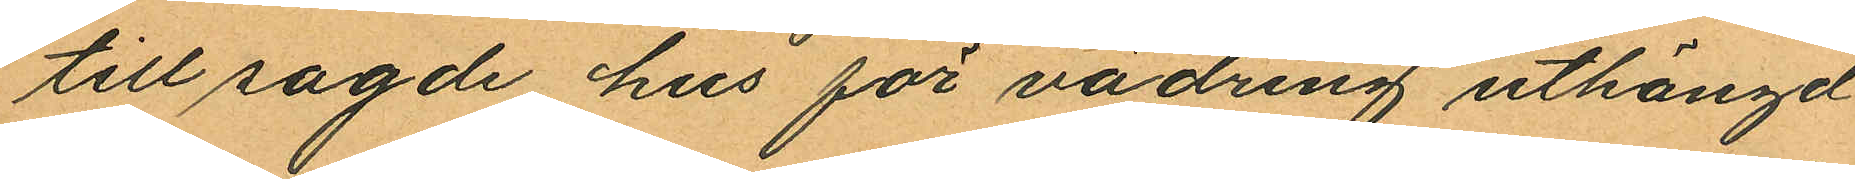till sagde hus för vädring uthängd
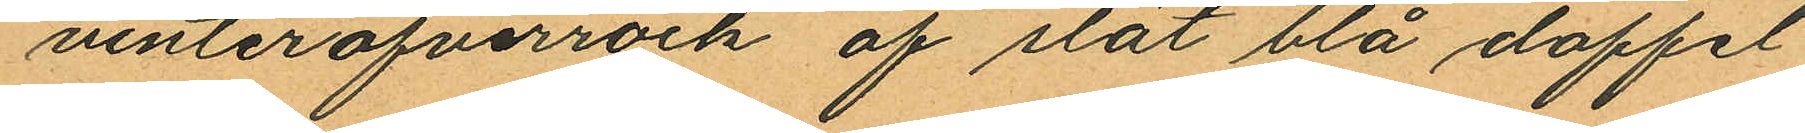vinteröfverrock af slät blå doffel
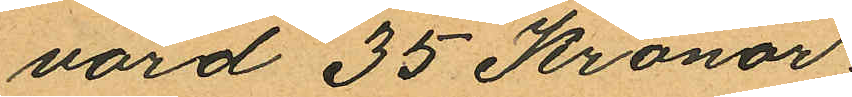värd 35 Kronor.
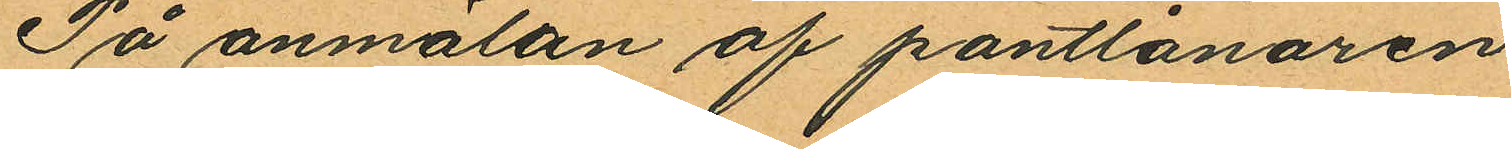På anmälan af pantlånaren
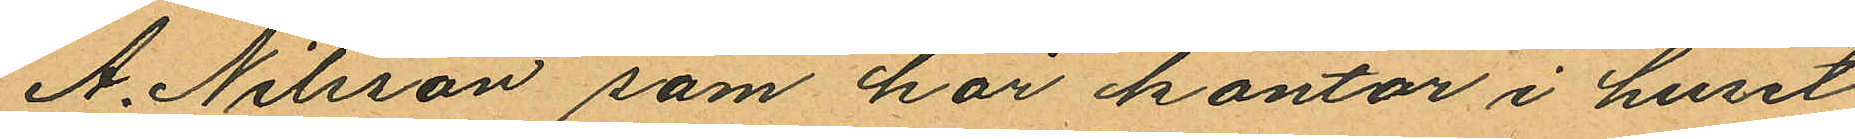A. Nilsson som har kontor i huset
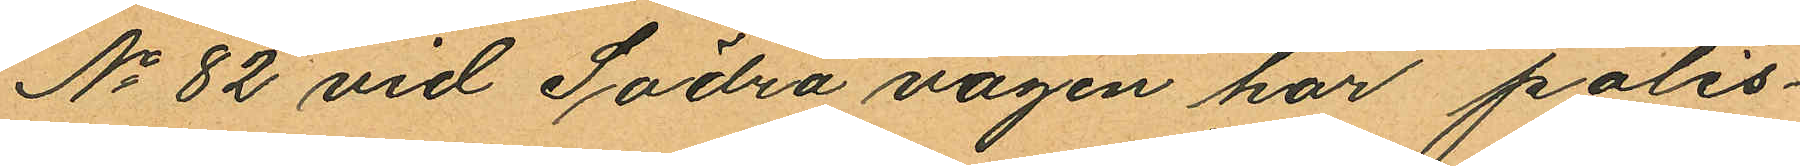No 82 vid Södra vägen har polis¬
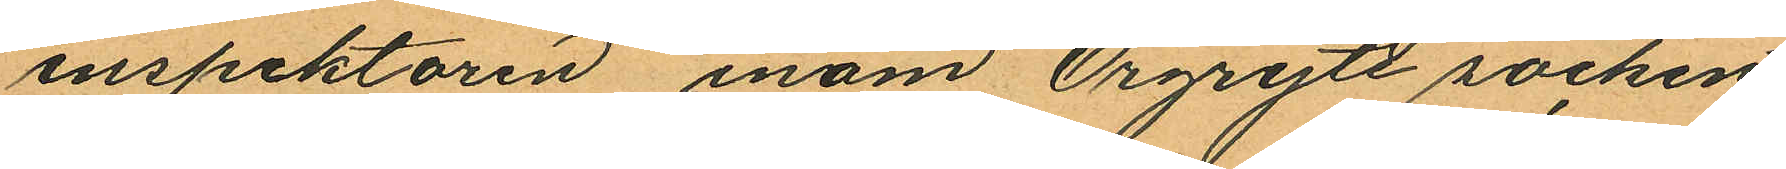inspektoren inom Örgryte socken
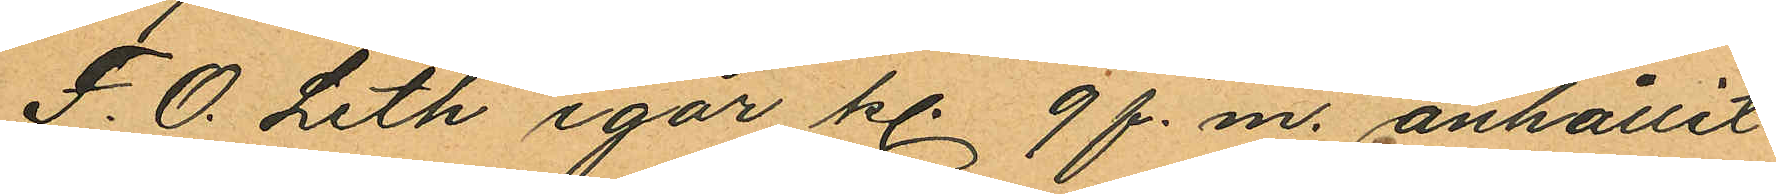F. O. Leth igår kl. 9 f. m. anhållit
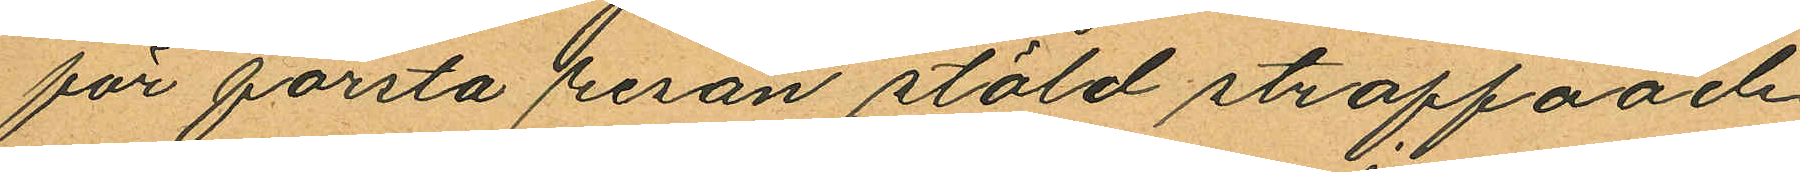för första resan stöld straffaade
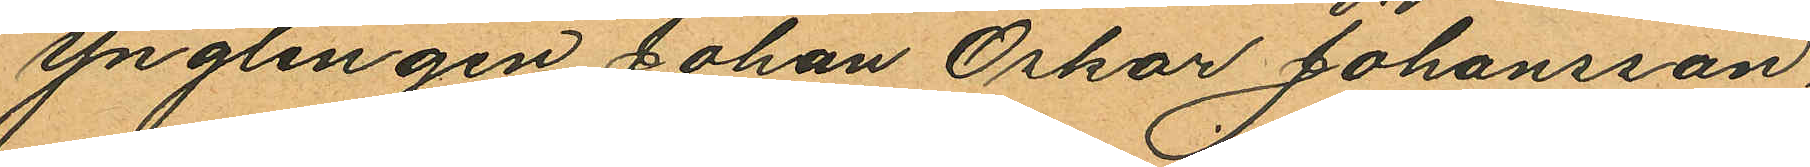ynglingen Johan Oskar Johansson
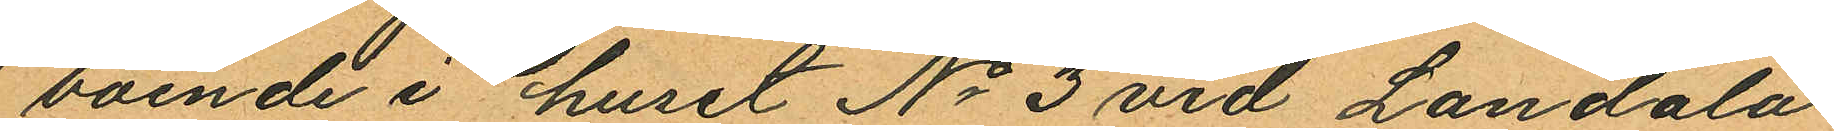boende i huset No 3 vid Landala
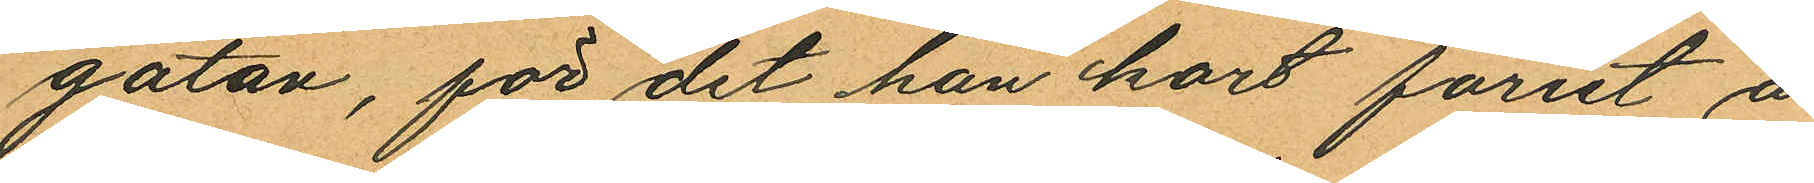gatan, för det han kort förut å
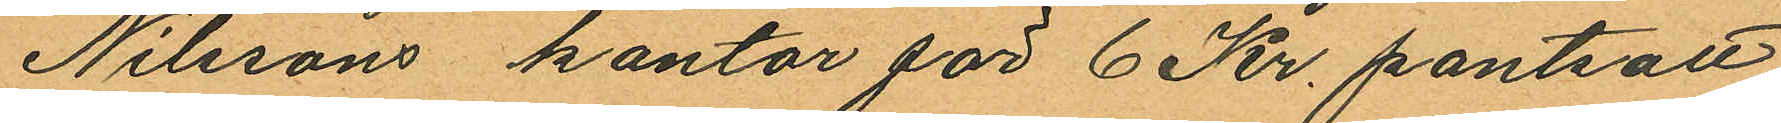Nilssons kontor för 6 Kr. pantsatt
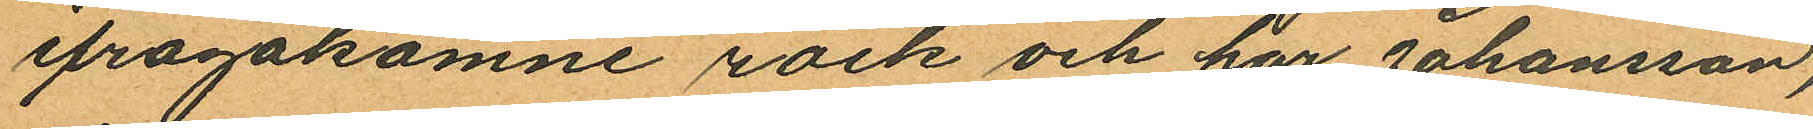ifrågakomne rock och har Johansson,
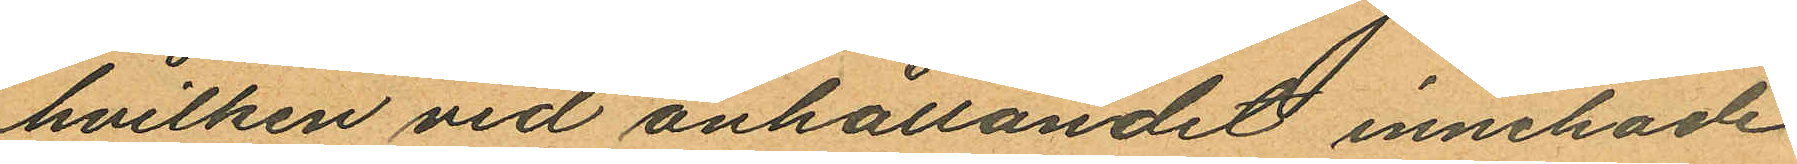hvilken vid anhållandet innehade
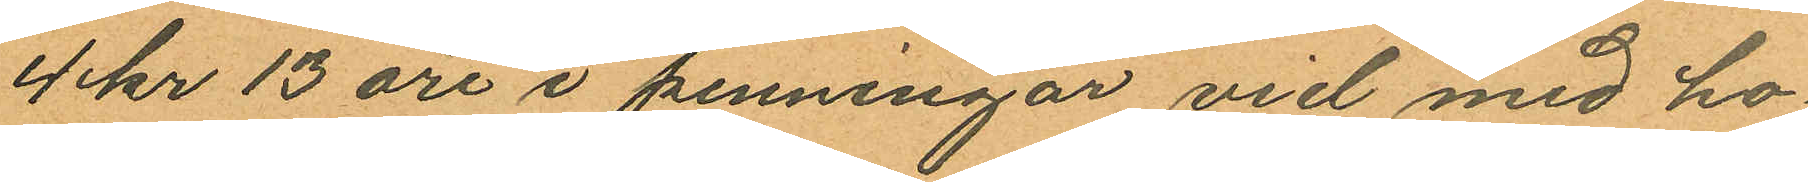4 kr 13 öre i penningar vid med ho¬
